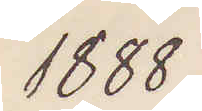1888
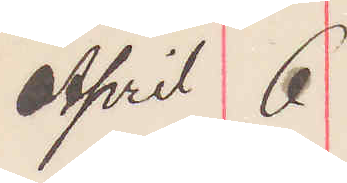April 6
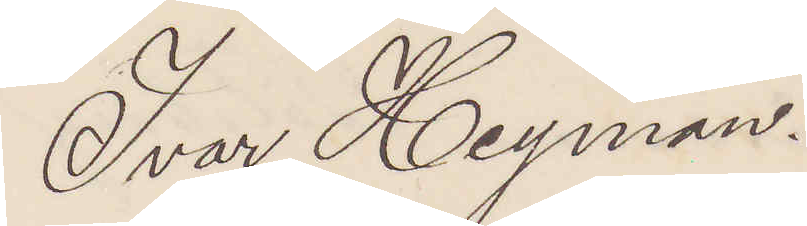Ivar Heyman.
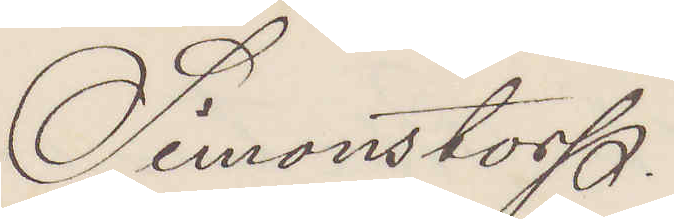Simonstorp.
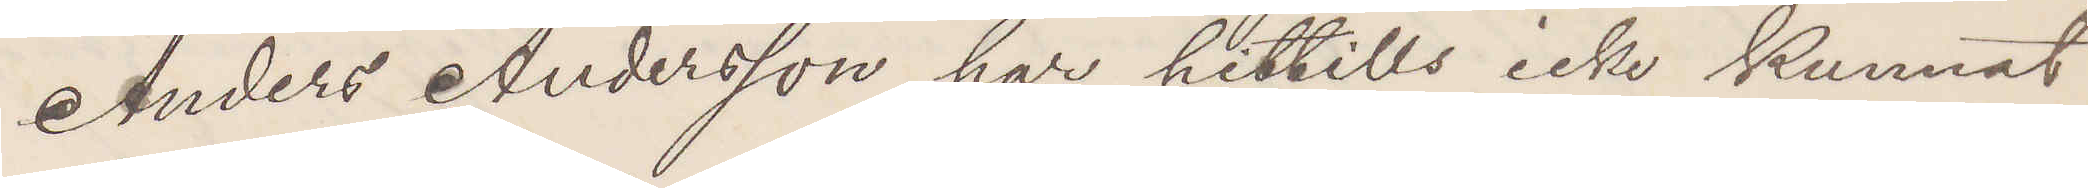Anders Andersson har hittills icke kunnat
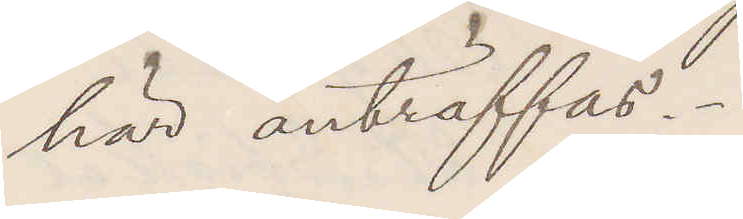här anträffas.
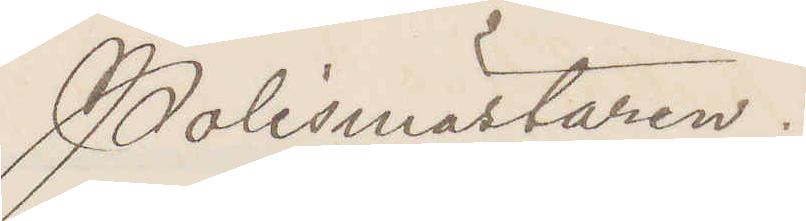Polismästaren.
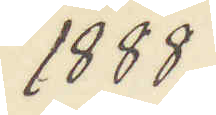1888
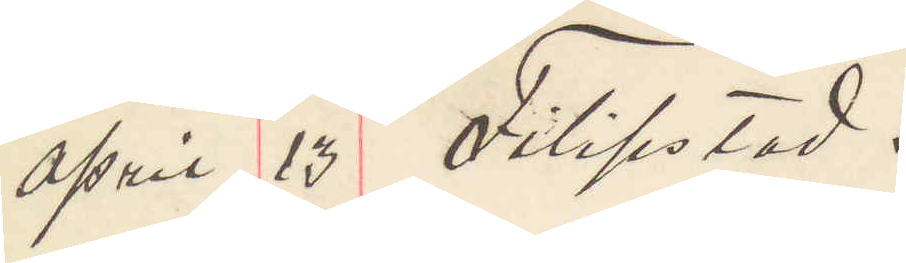April 13 Filipstad.
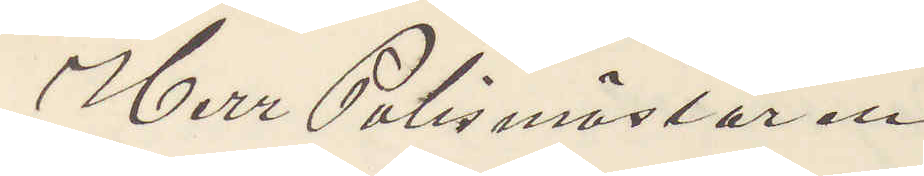Herr Polismästaren
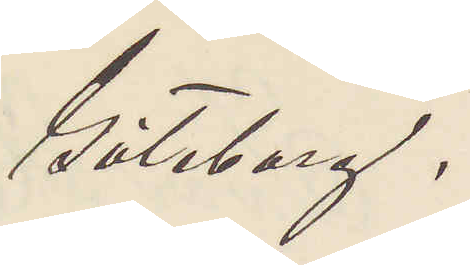Göteborg.
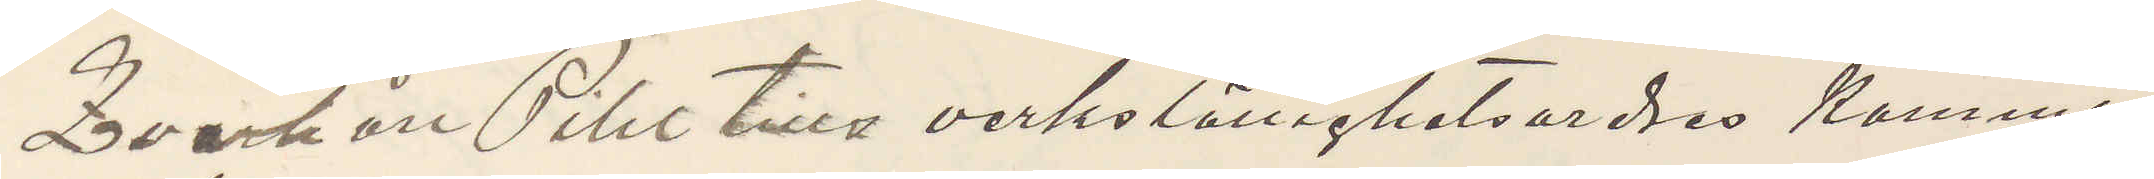Qvarhåll Pihl tills verkställighetsordres komma
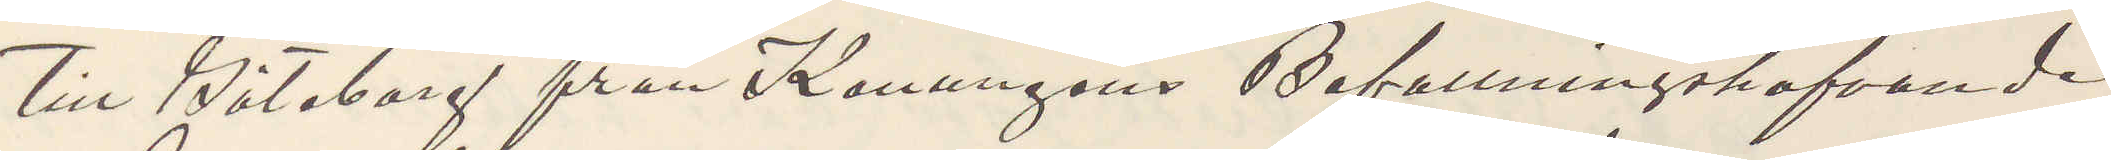till Göteborg från Konungens Befallningshafvande
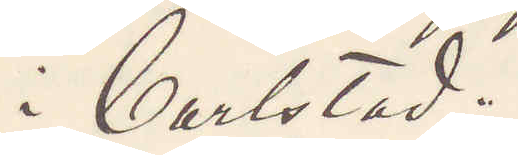i Carlstad.
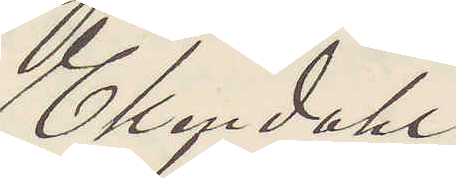Ekendahl
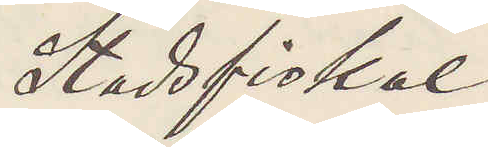Stadsfiskal
